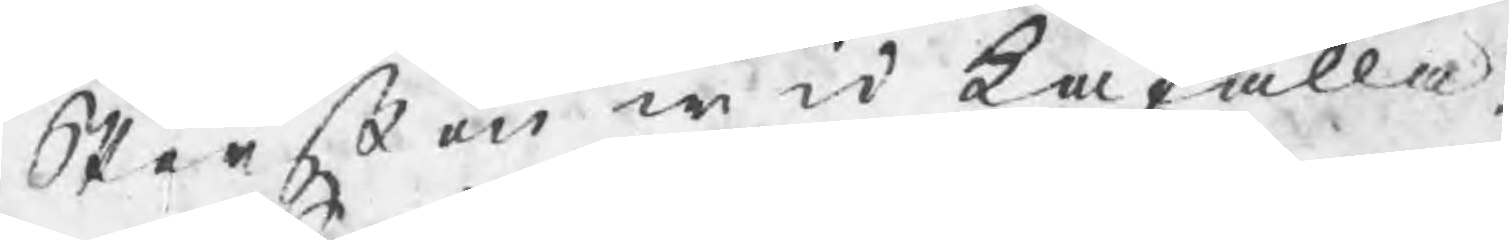Stenßon wid Kåfalla
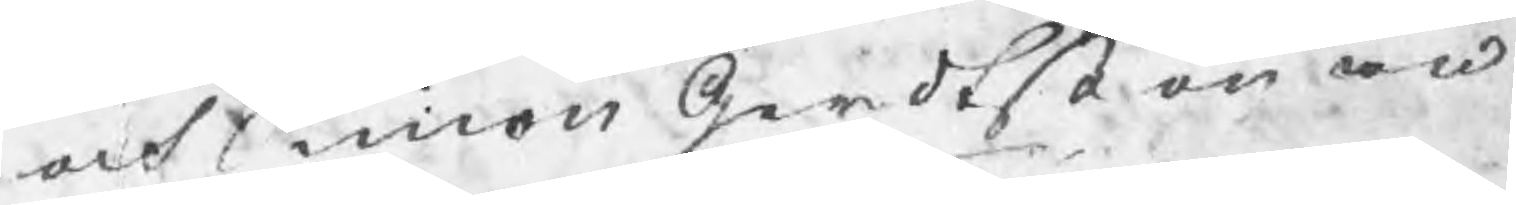och Simon Gerdtßon wid
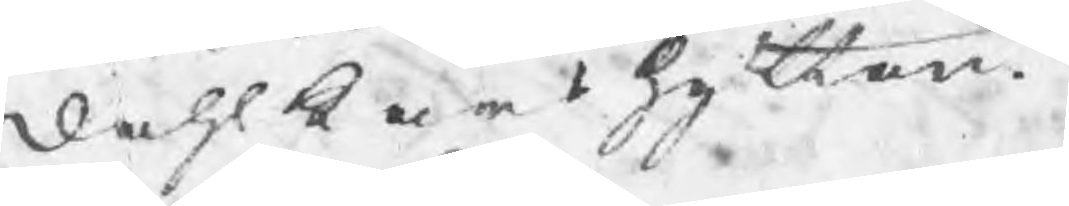Dahlkarshyttan.
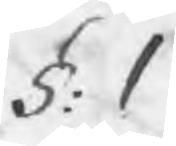§: 1
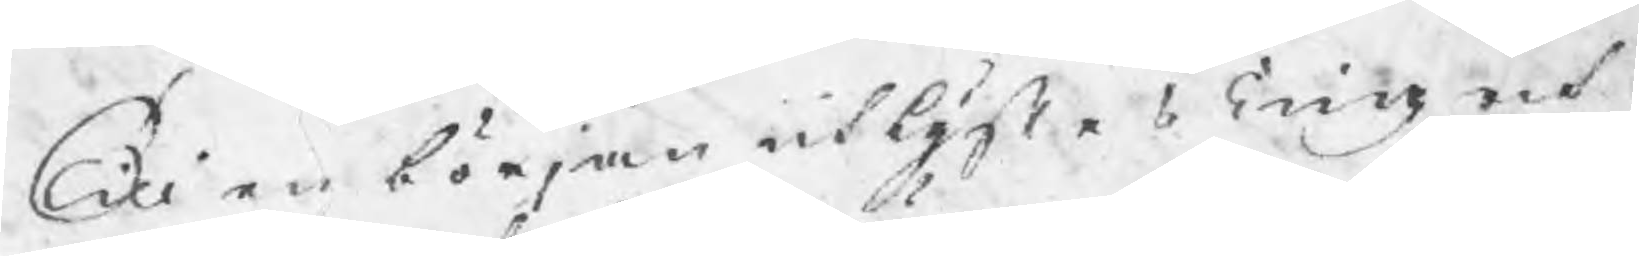Till en början utlystes Ting och 
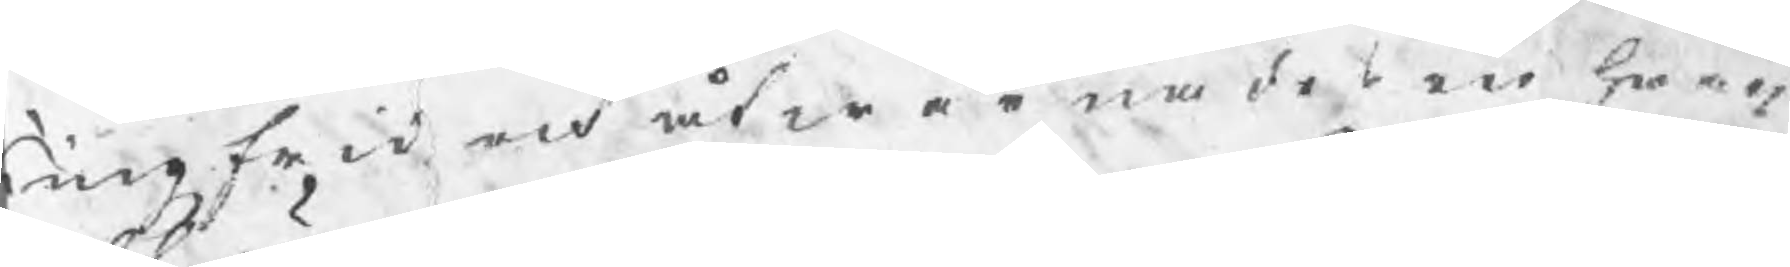Tingzfrid och åtwärnades en hwar
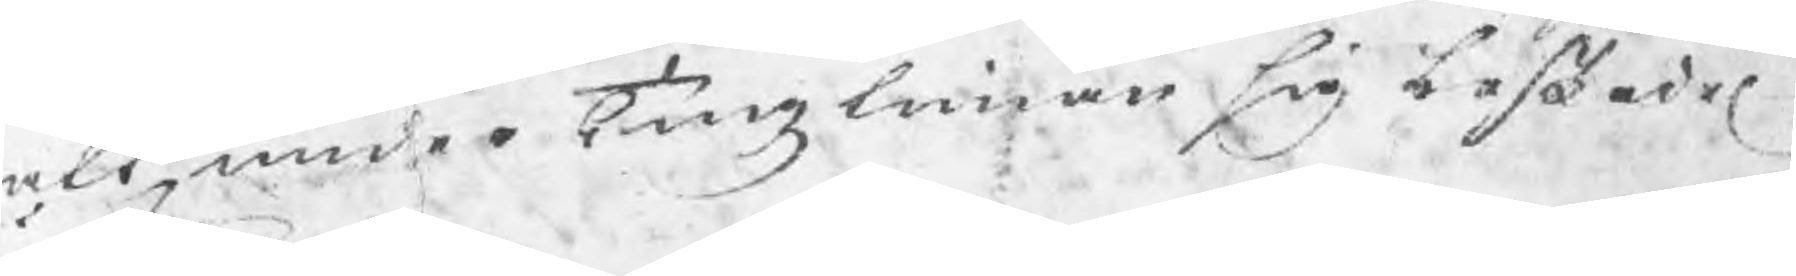att under Tingztiman sig beskedel
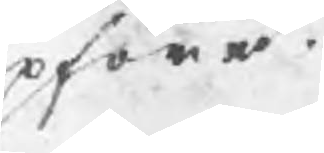upföra.
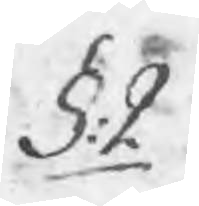§: 2
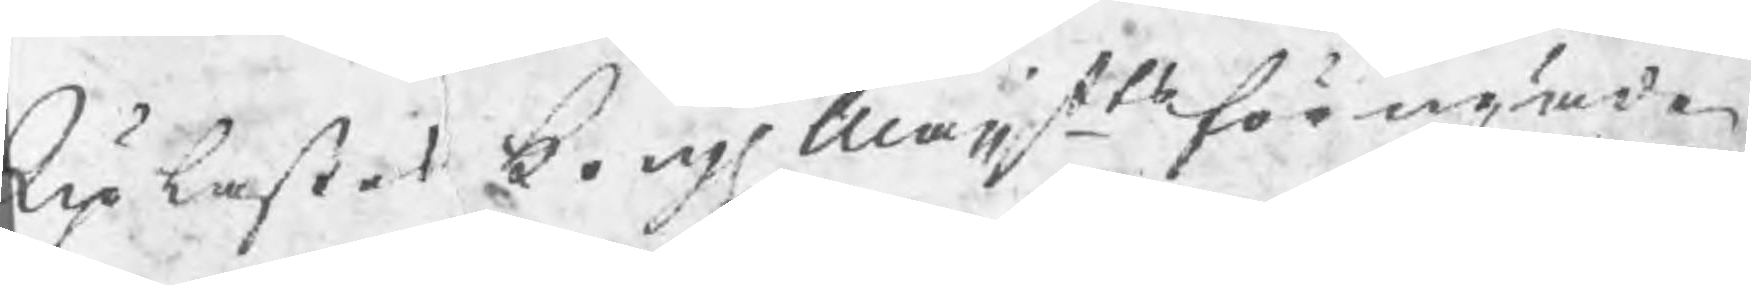Uplästes Kongl Maijts förnyade
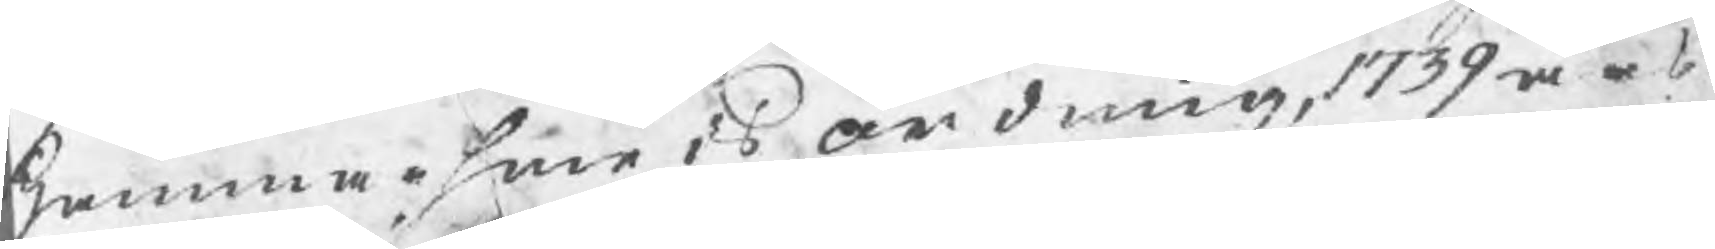Hammarsmeds ordning, 1739 års
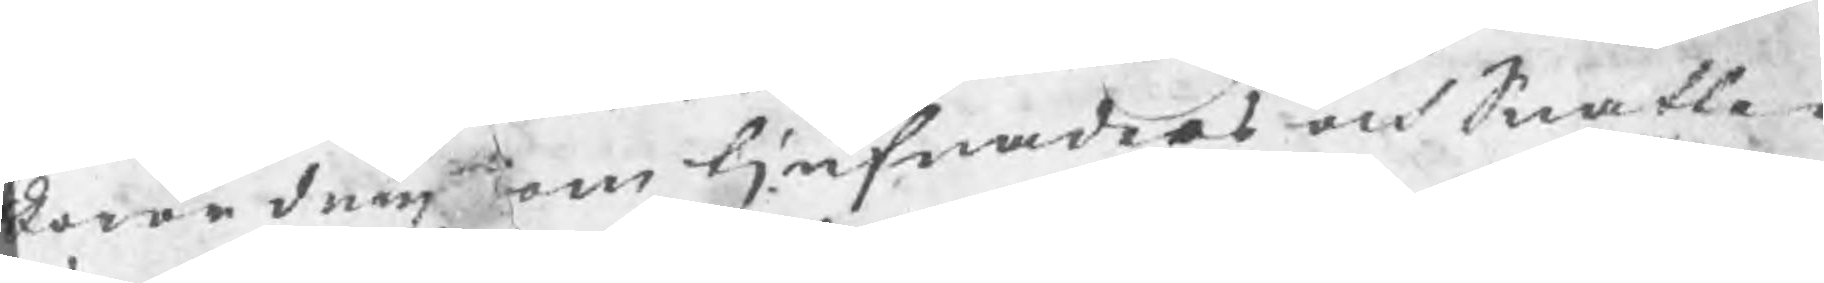forordning om tjufnaders och Snatte¬
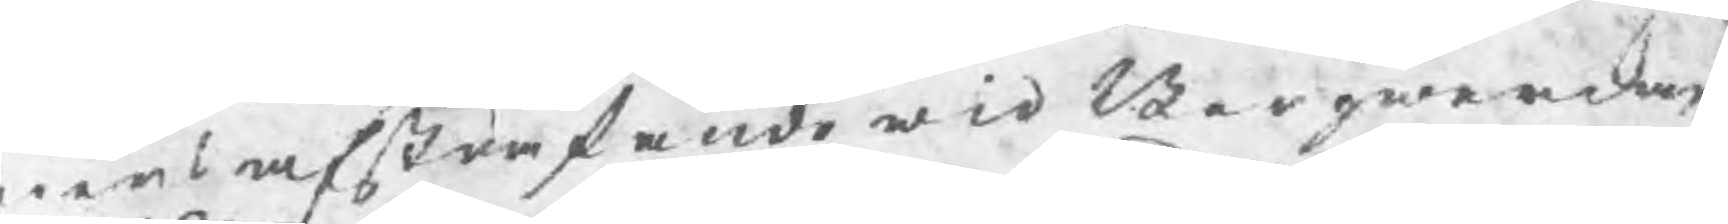riers afstraffande wid Bergwerken
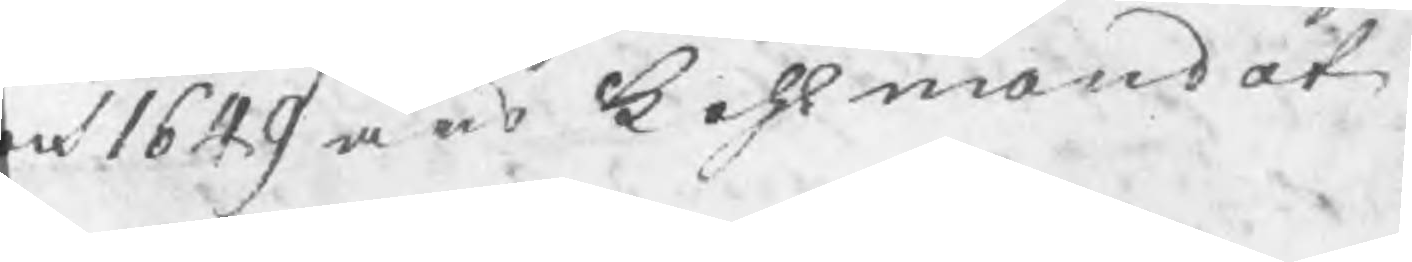och 1649 års Kohlmandat.
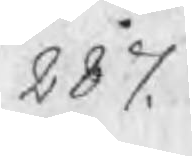287.
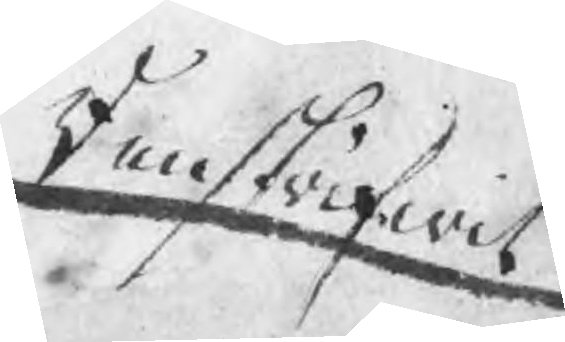Renskrifwit
